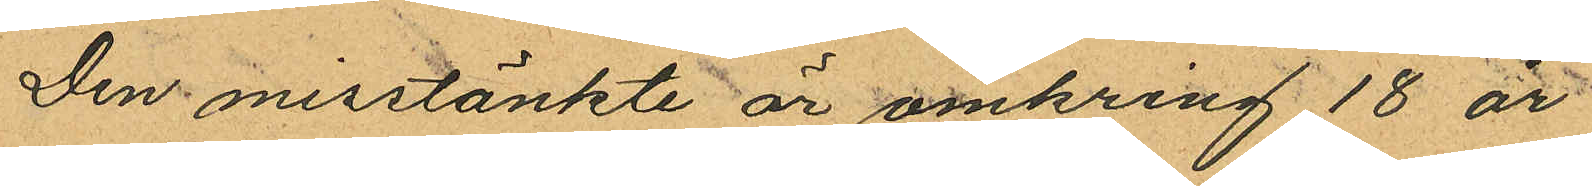Den misstänkte är omkring 18 år
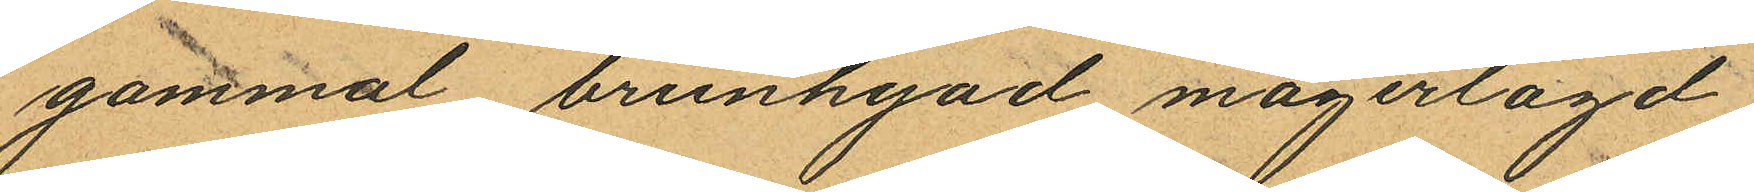gammal, brunhyad, magerlagd,
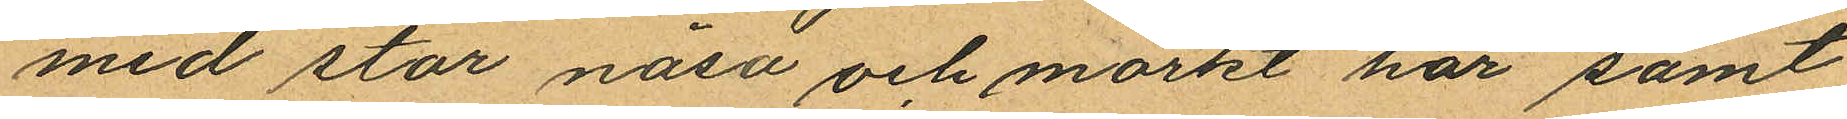med stor näsa och mörkt hår samt
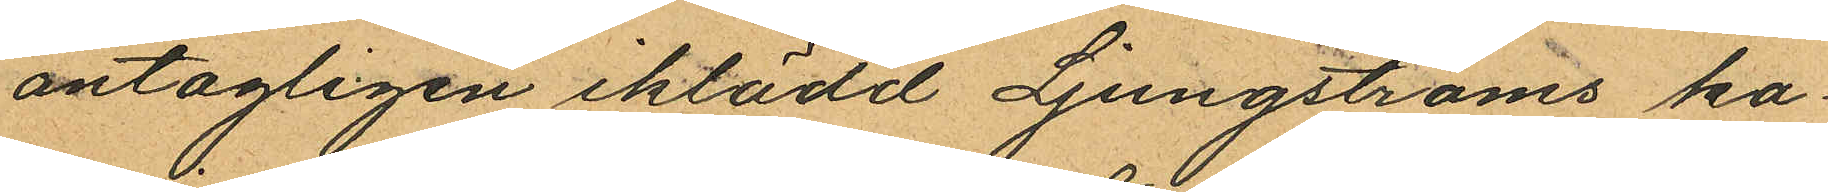antagligen iklädd Ljungströms ka¬
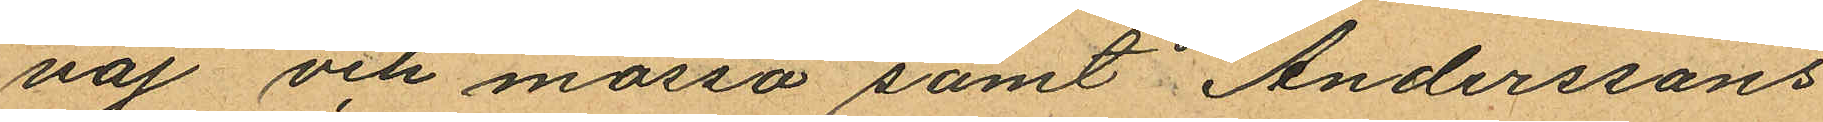vaj och mössa samt Anderssons
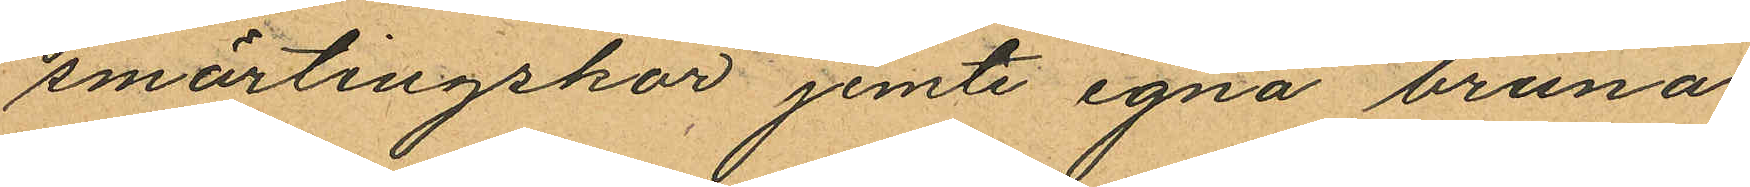smärtingskor, jemte egna bruna
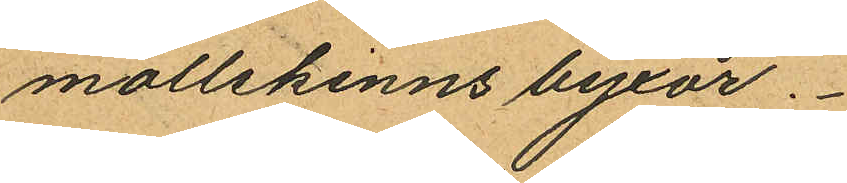mollskinns byxor.
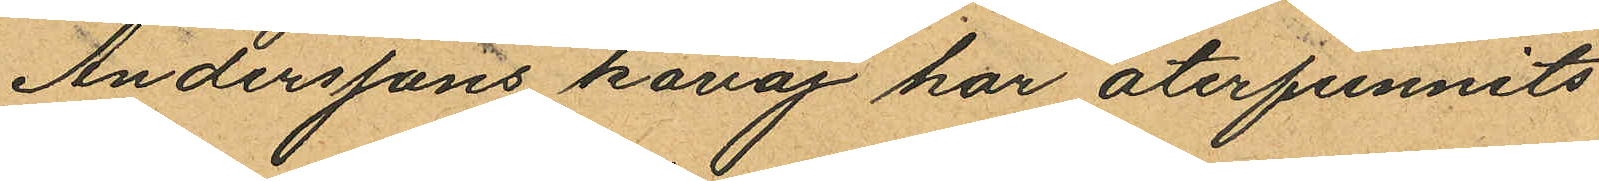Anderssons kavaj har återfunnits
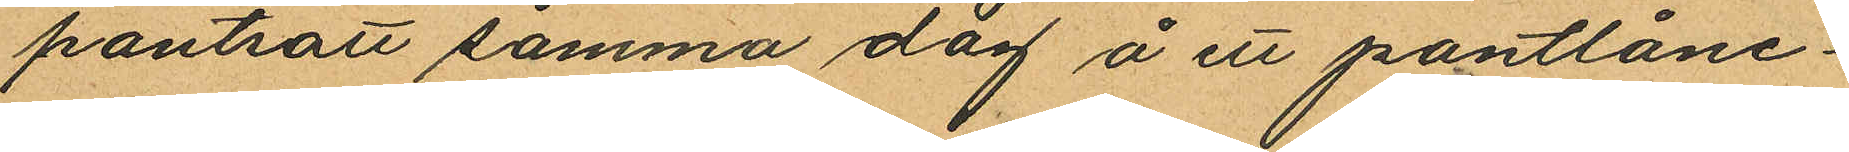pantsatt samma dag å ett pantlåne¬
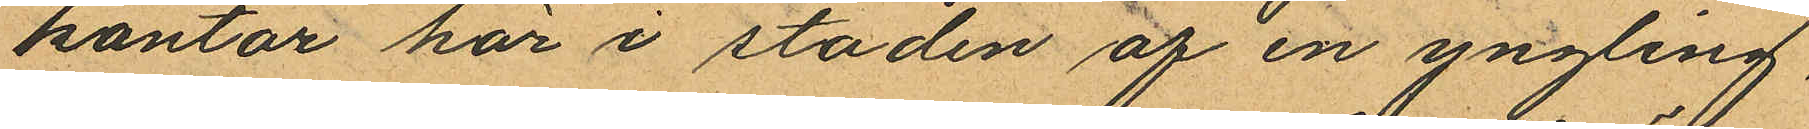kontor här i staden af en yngling,
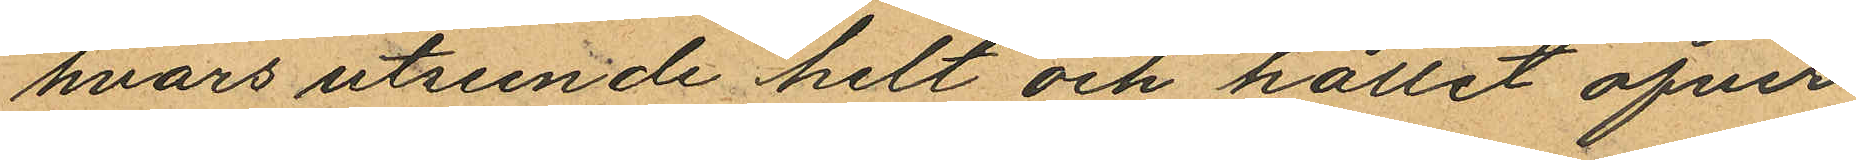hvars utseende helt och hållit öfver
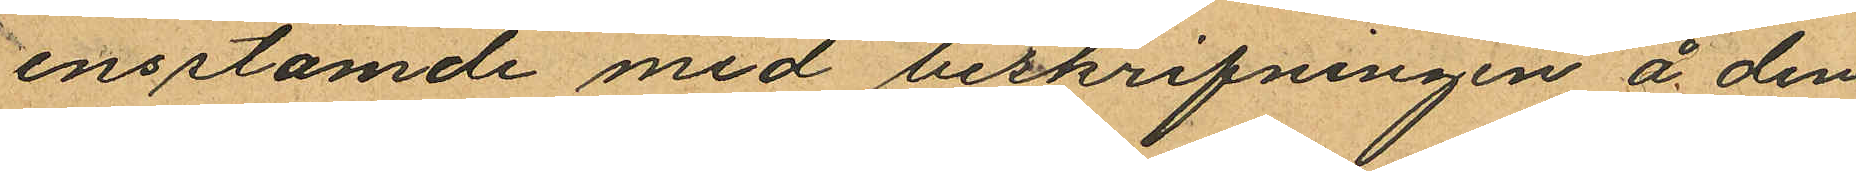ensstämde med beskrifningen å den
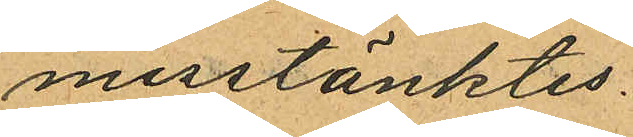misstänktes.
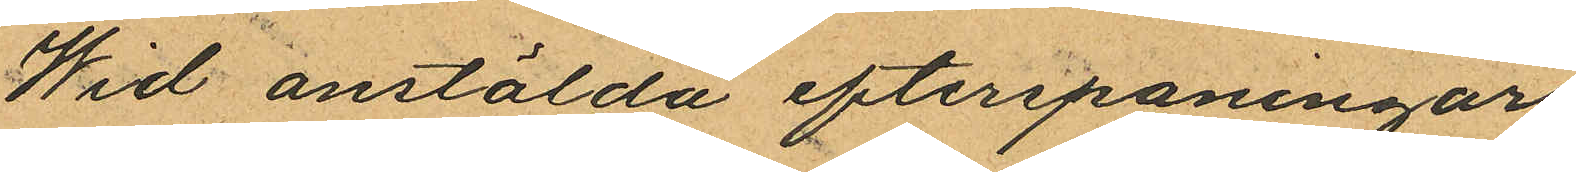Wid anstälda efterspaningar
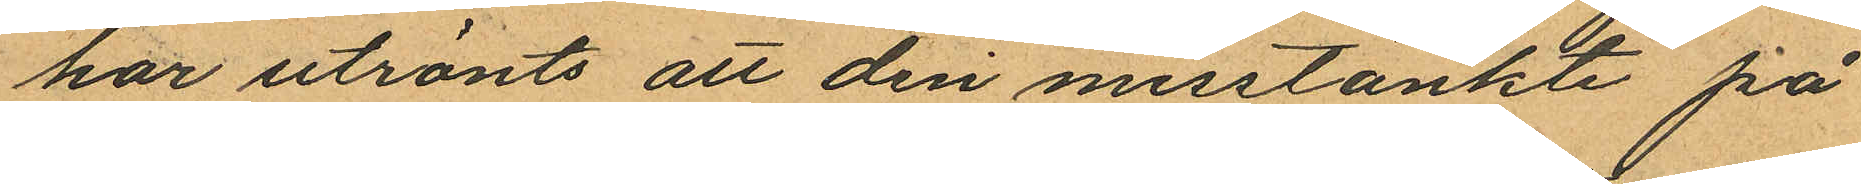har utränts att den misstänkte på
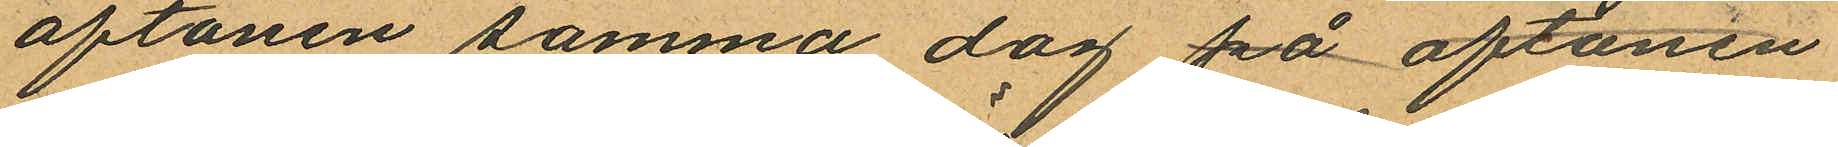aftonen samma dag på aftonen
